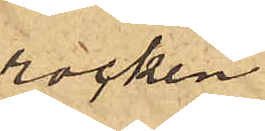rocken.
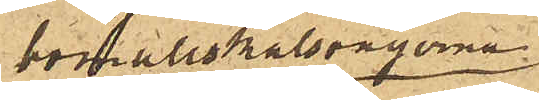bomullskalsongerna
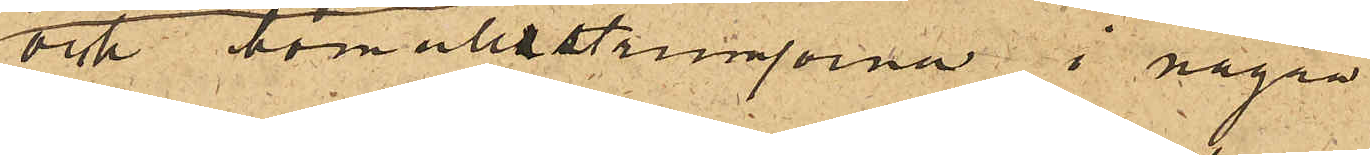och bomullstrumporna i några
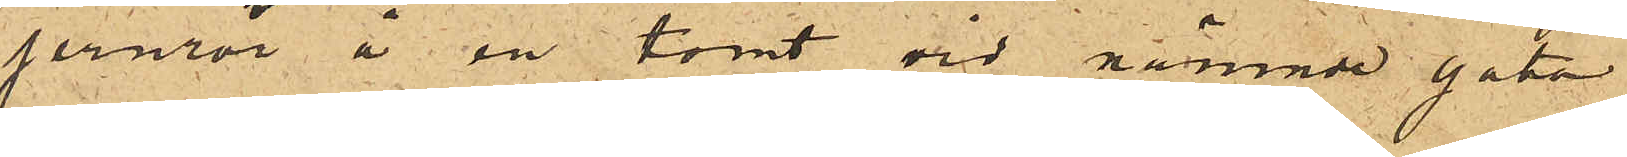jernrör å en tomt vid nämnde gata
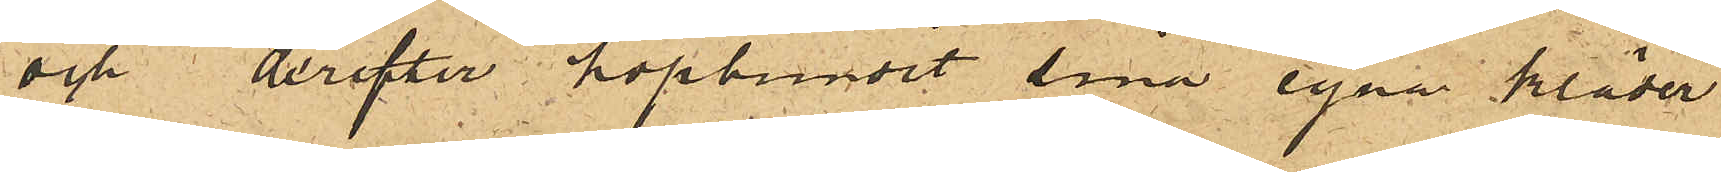och derefter hopbundit sina egna kläder
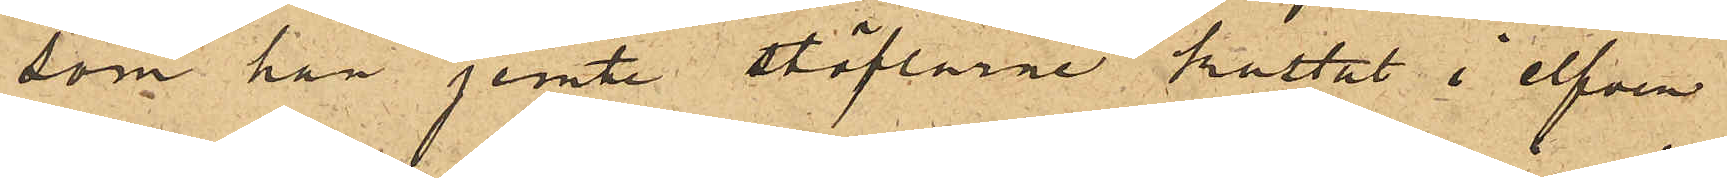som han jemte stöflarne kastat i elfven
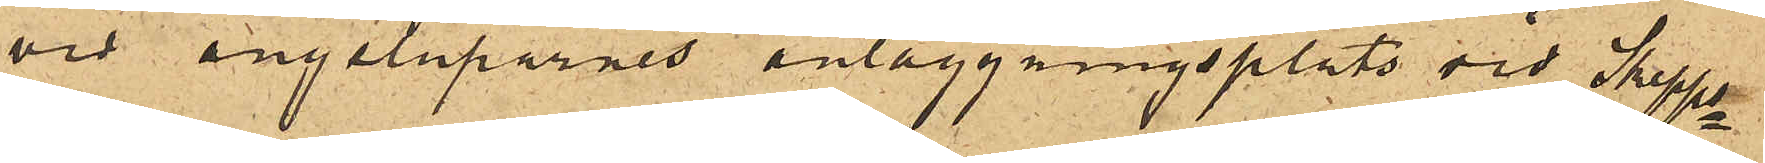vid ångsluparnes anläggningsplats vid Skepps¬
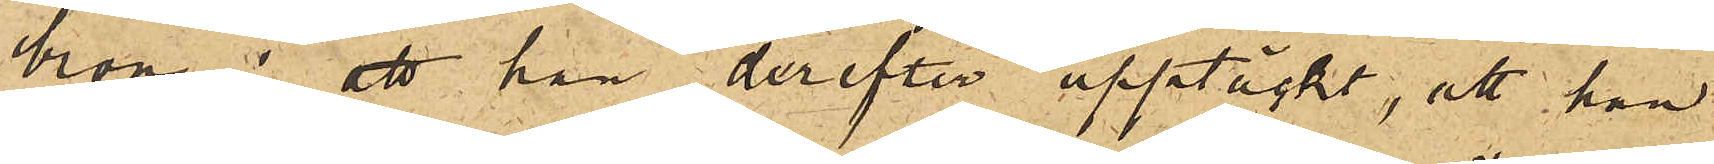bron; att han derefter upptäckt, att han
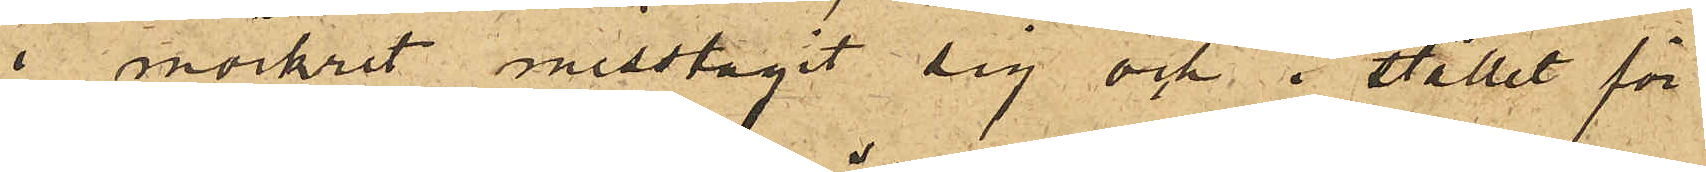i mörkret misstagit sig och i stället för
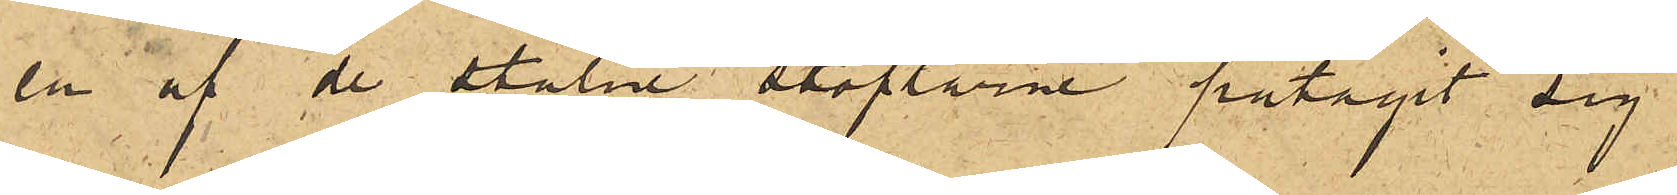en af de stulne stöflarne påtagit sig
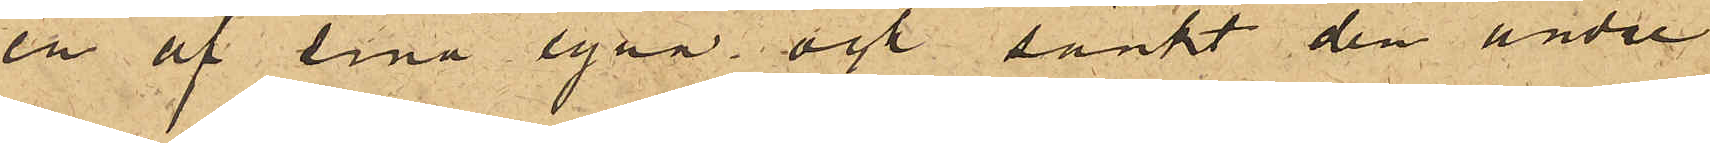en af sina egna oct sänkt den andre
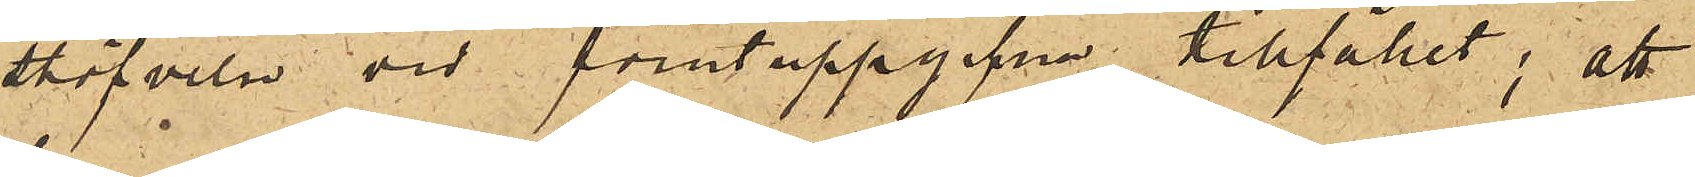stöfveln vid förutuppgifna tillfället; att
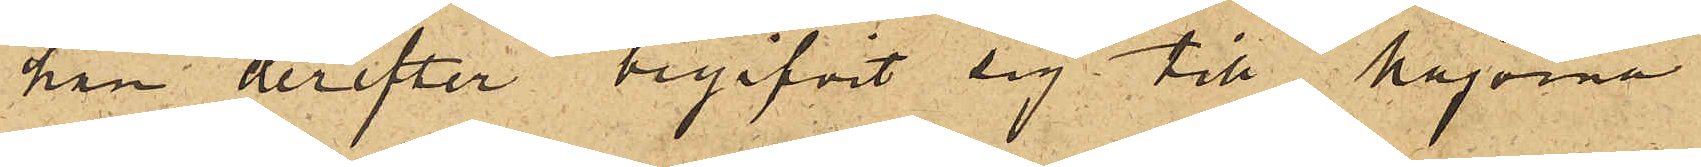han derefter begifvit sig till Majorna
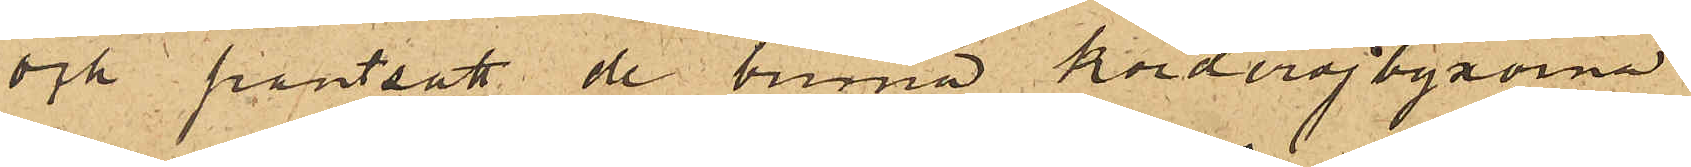och pantsatt de bruna korderojbyxorna
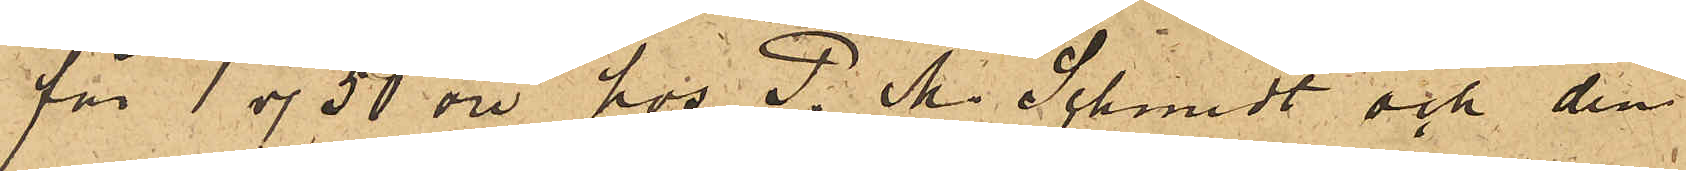för 1 rdr 50 öre hos P. M. Schmidt och den
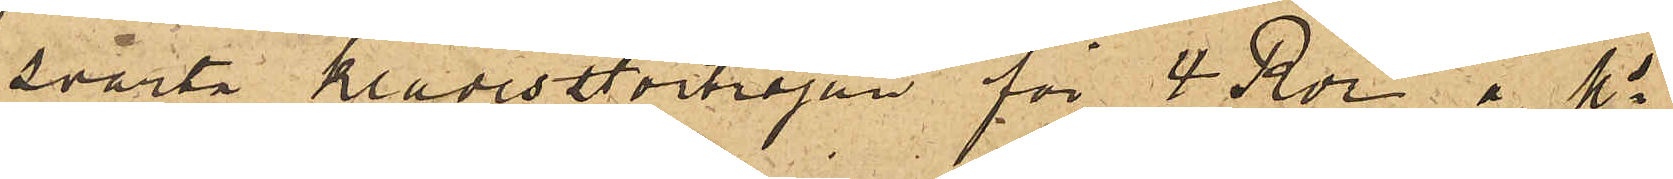svarta klädesttortröjan för 4 Rdr å Ms
